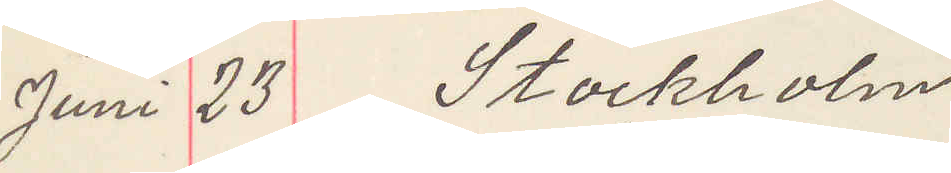Juni 23 Stockholm
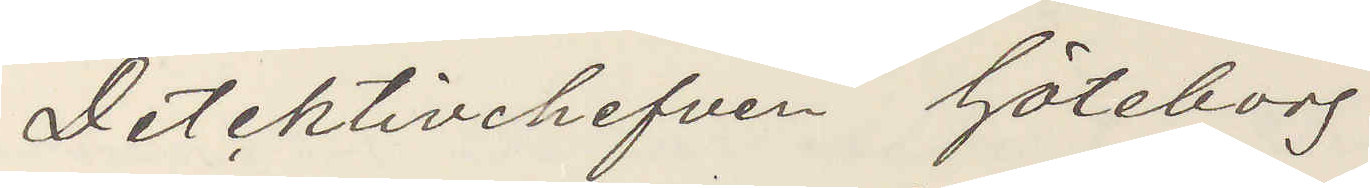Detektivchefen Göteborg
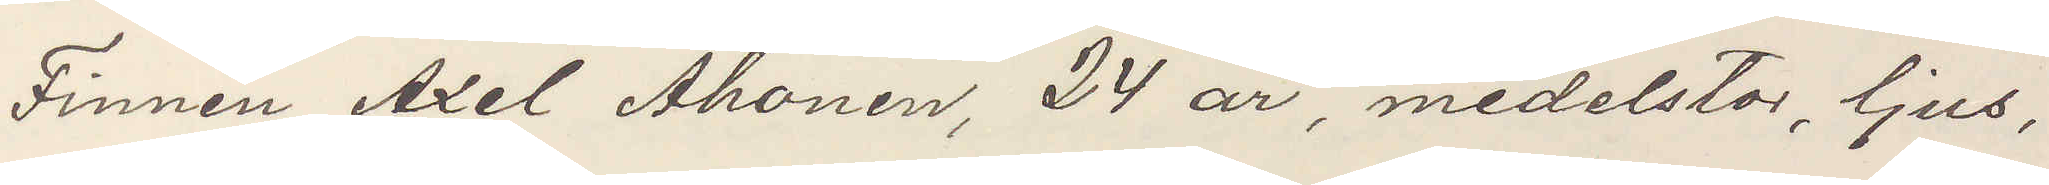Finnen Axel Ahonen, 24 år, medelstor, ljus,
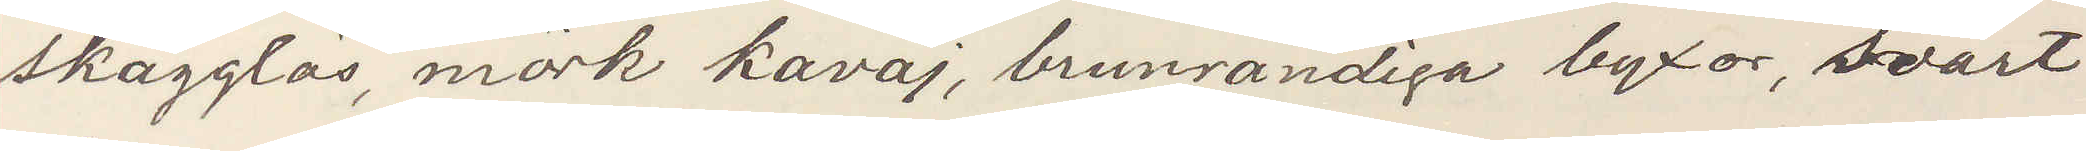skägglös, mörk kavaj, brunrandiga byxor, svart
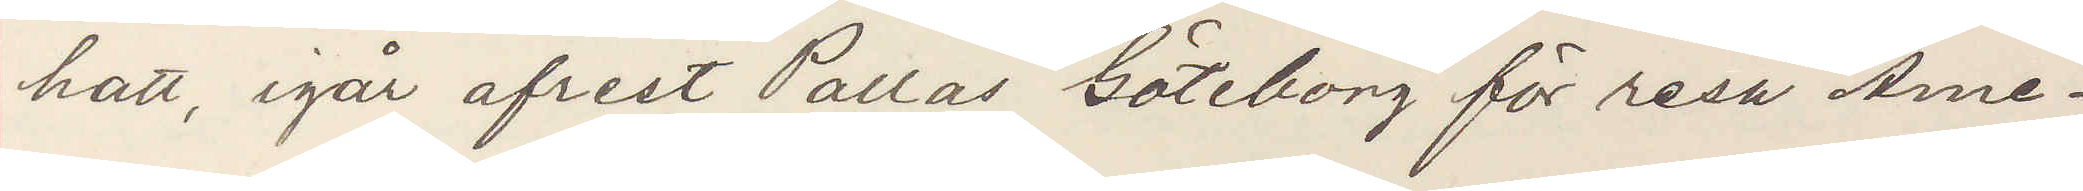hatt, igår afrest Pallas Göteborg för resa Ame¬
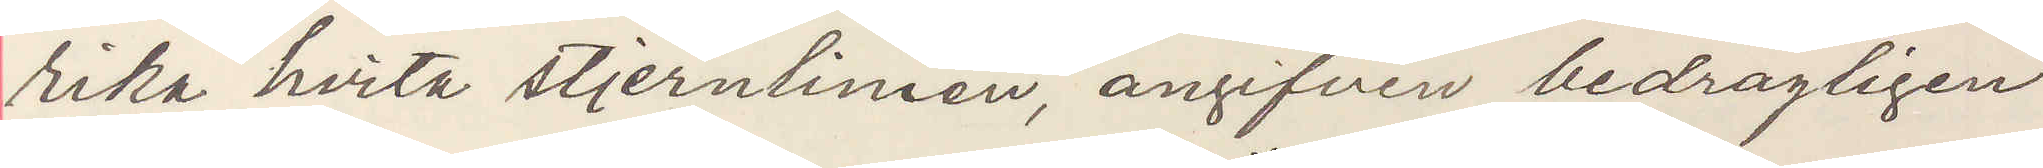rika hvita stjernlinien, angifven bedrägligen
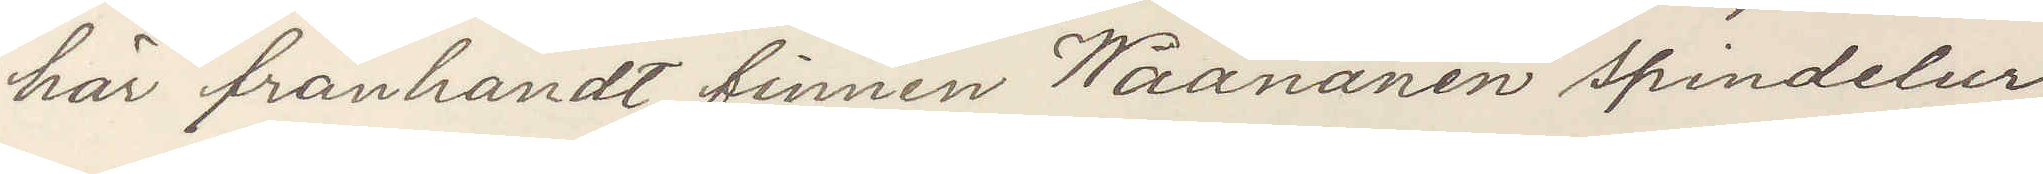här frånhändt firman Waanänen spindelur,
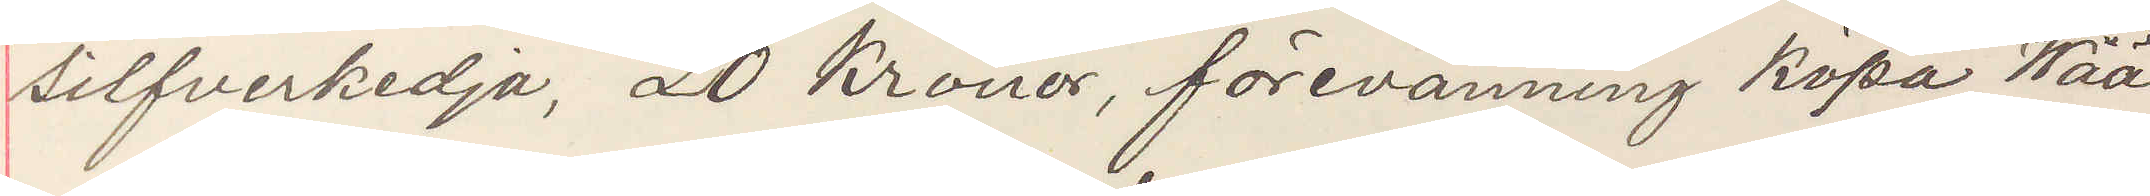silfverkedja, 20 kronor, förevänning köpa Wää¬
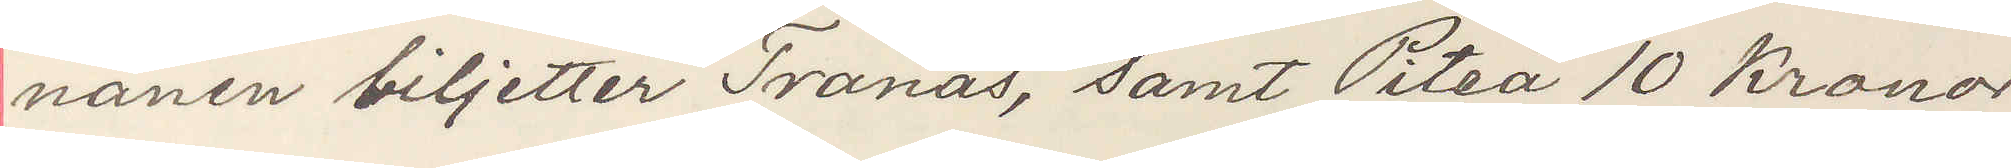nänen biljetter Tranås, samt Piteå 10 Kronor
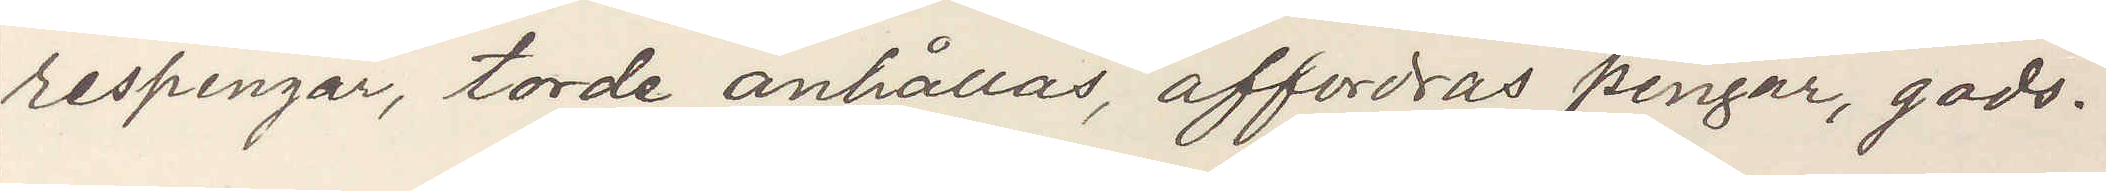respengar, torde anhållas, affordras pengar, gods.
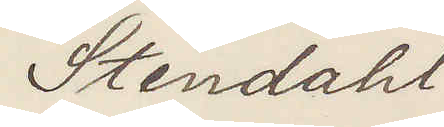Stendahl
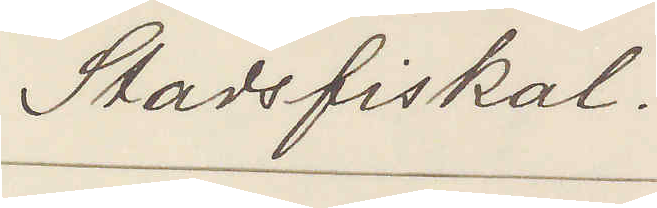Stadsfiskal.
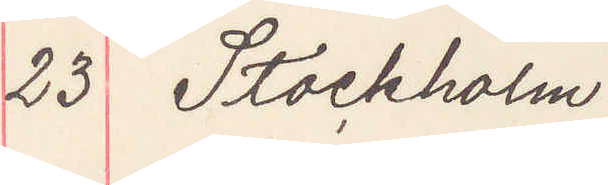23 Stockholm
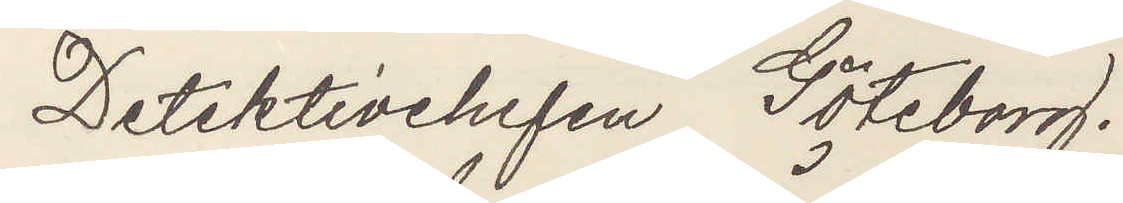Detektivchefen Göteborg.
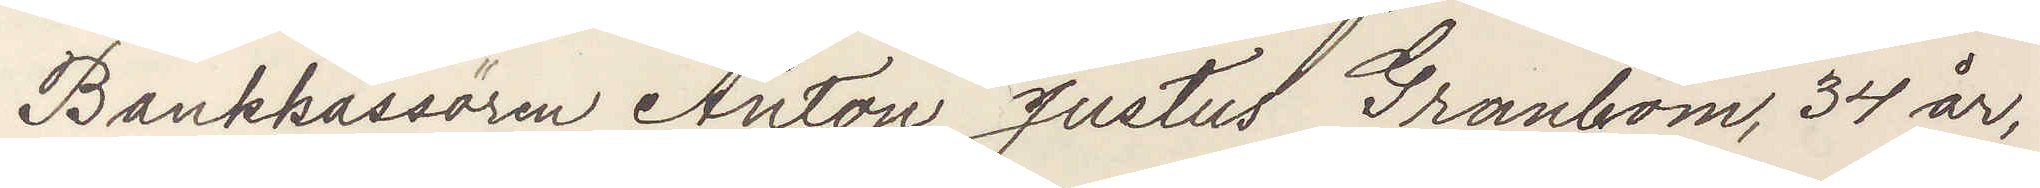Bankkassören Anton Justus Granbom, 34 år,
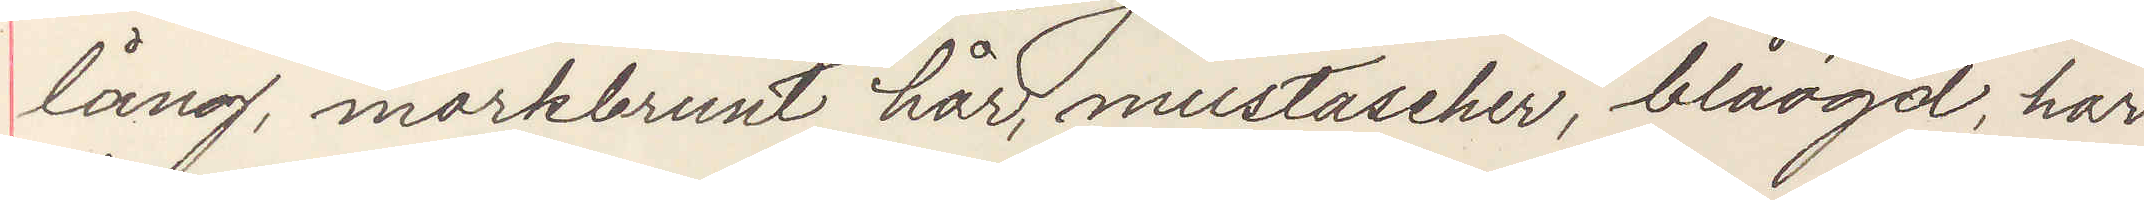lång, mörkbrunt hår, mustascher, blåögd, har
